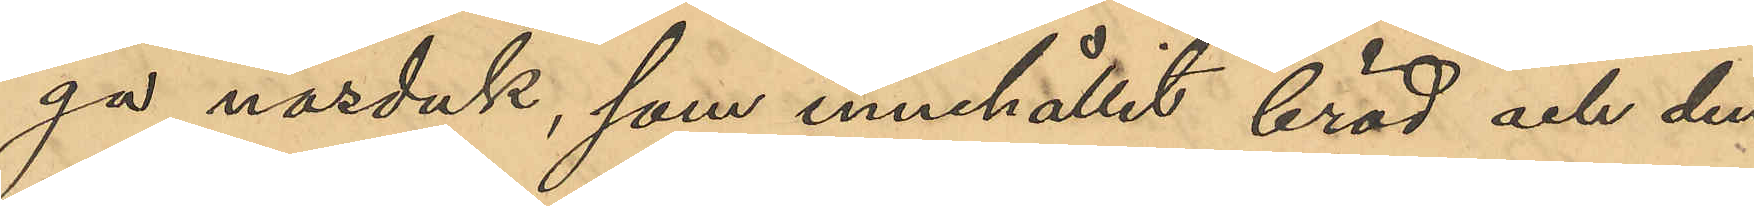ga näsduk, som innehållit bröd och den
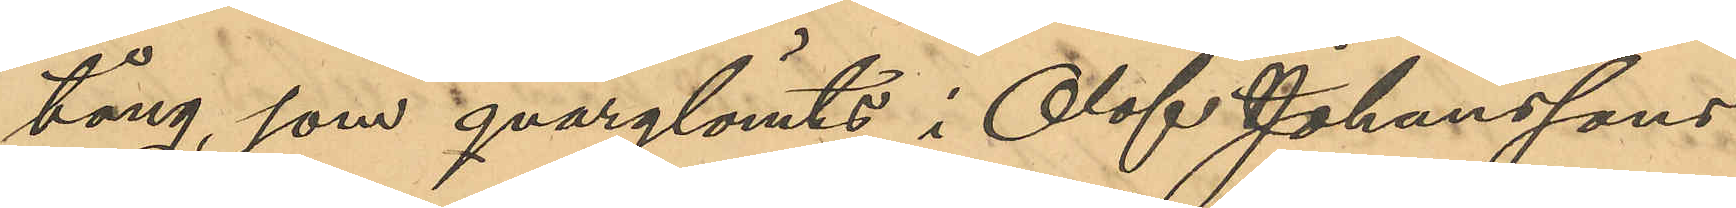tång, som qvarglömts i Olof Johanssons
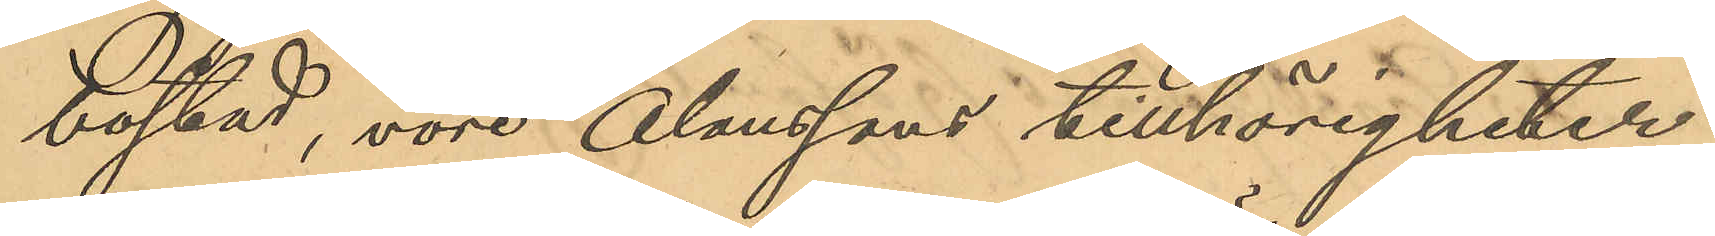bostad, vore Olaussons tillhörigheter;
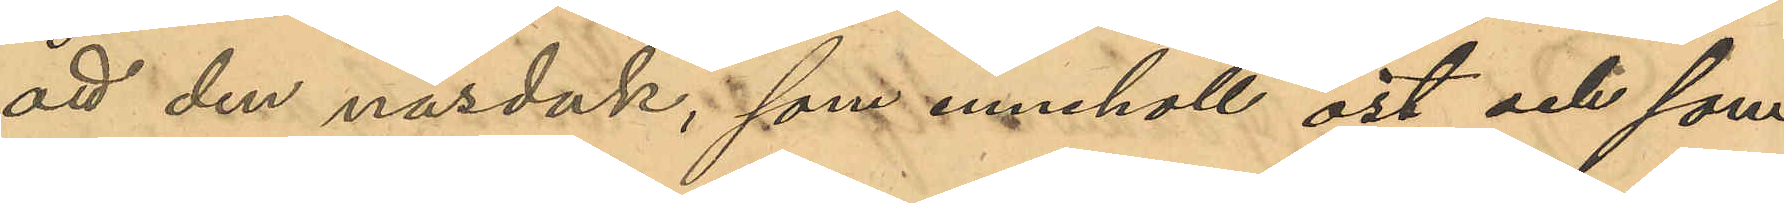att den näsduk, som innehöll ost och som
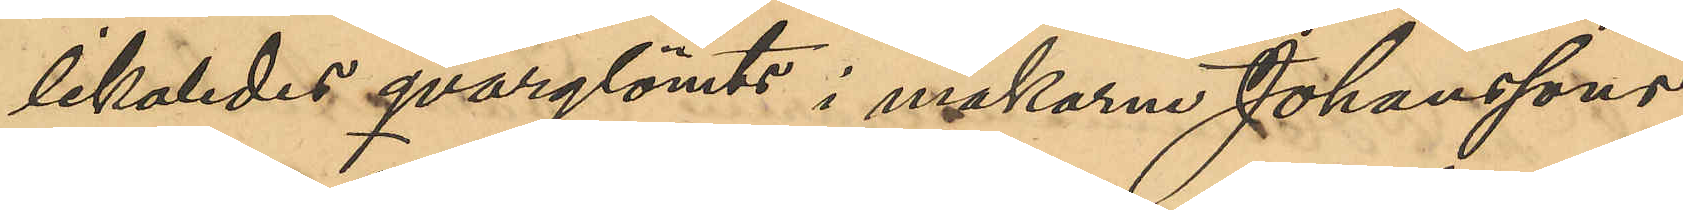likaledes qvarglömts i makarne Johanssons
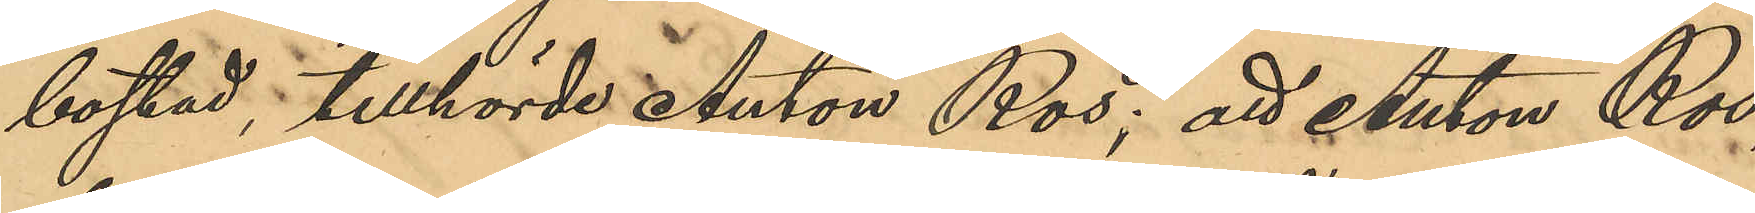bostad tillhörde Anton Ros; att Anton Ros
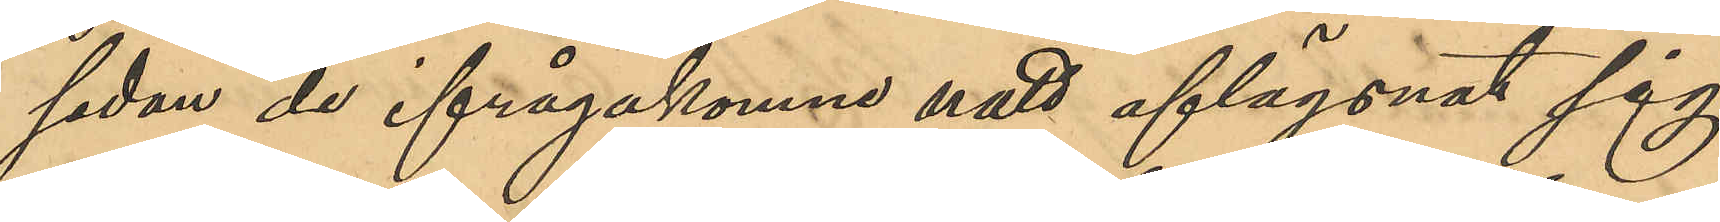sedan de ifrågakomne natt aflägsnat sig
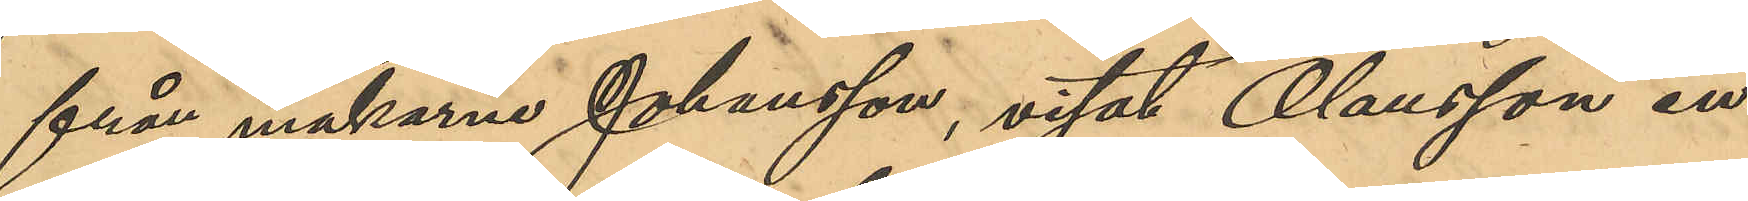från makarne Johansson, visat Olausson en
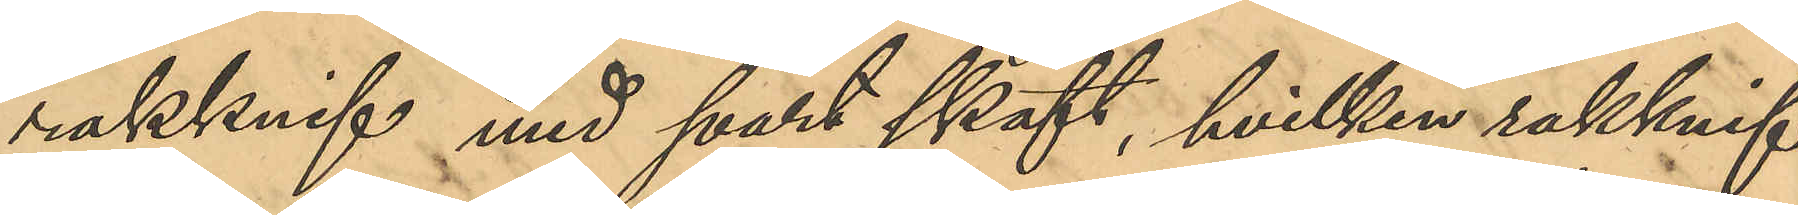rakknif med svart skaft, hvilken rakknif
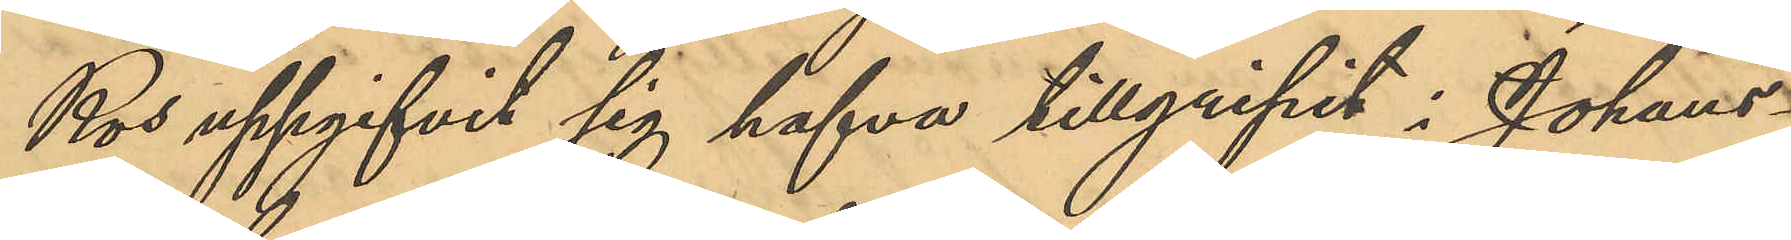Ros uppgifvit sig hafva tillgripit i Johans¬
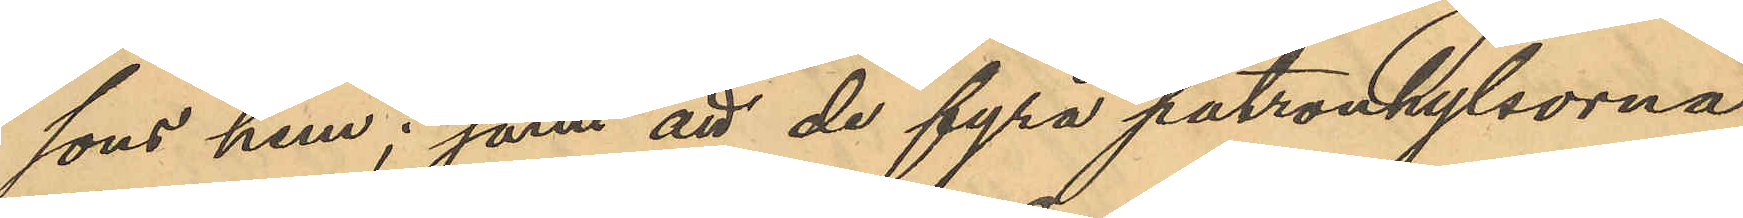sons hem; samt att de fyra patronhylsorna,
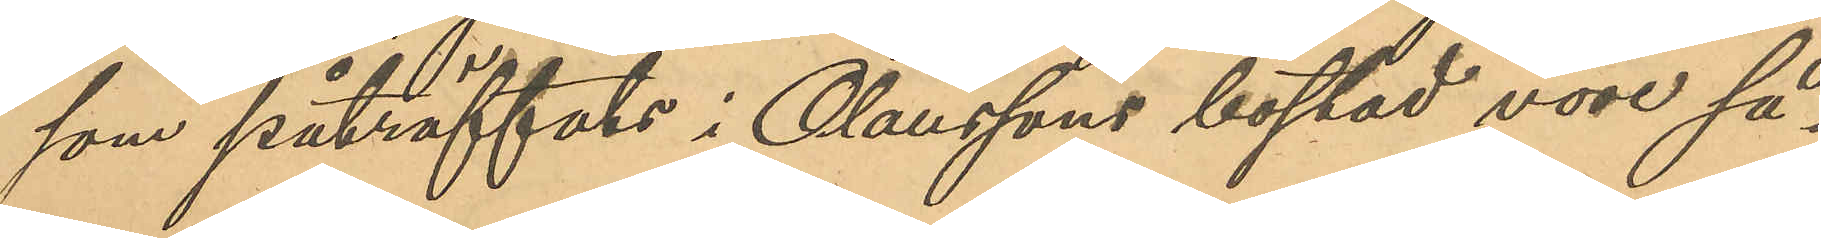som påträffats i Olaussons bostad vore så¬
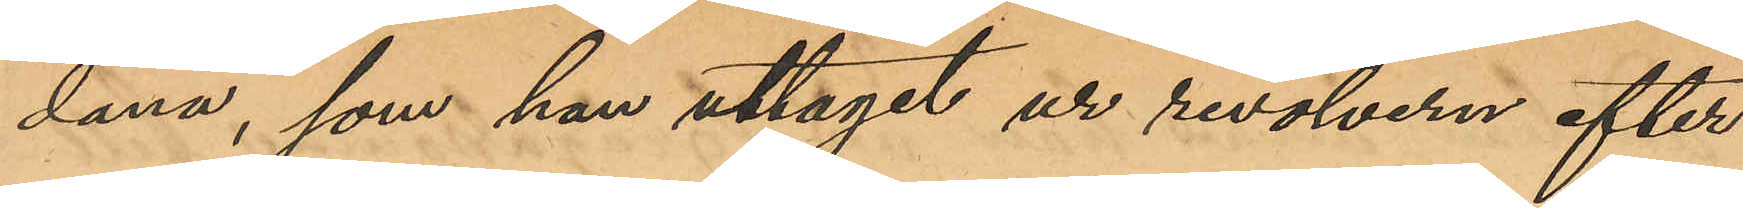dana, som han uttagit ur revolvern efter
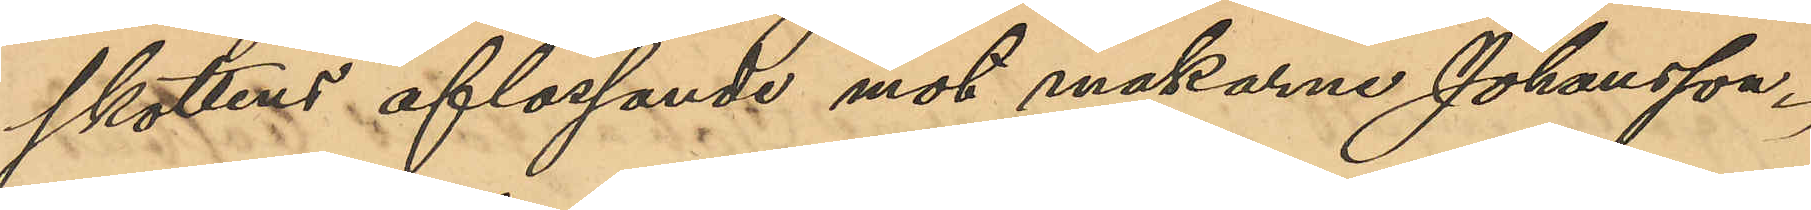skottens aflossande mot makarne Johansson.
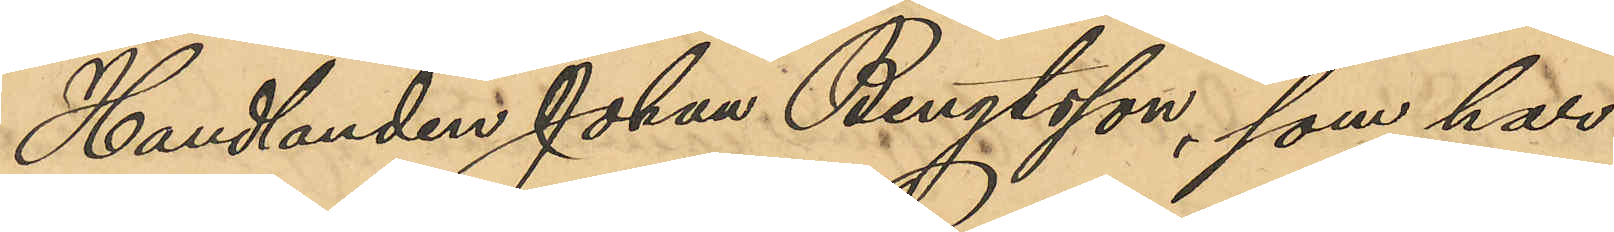Handlanden Johan Bengtsson har
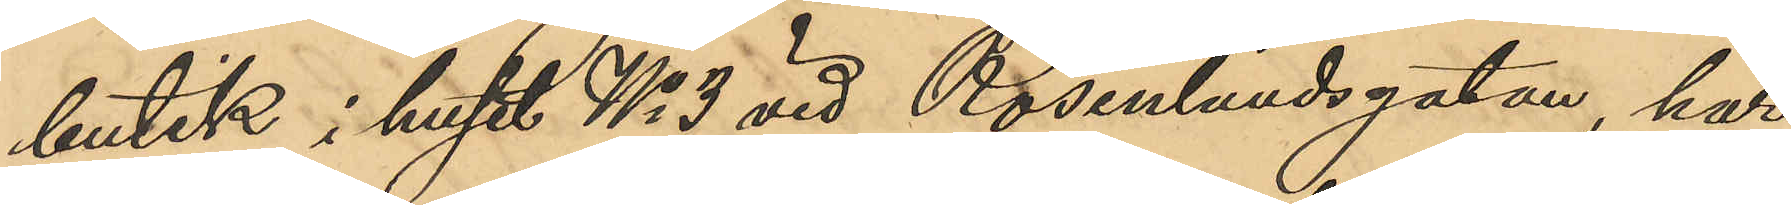butik i huset No 3 vid Rosenlundsgatan, har
